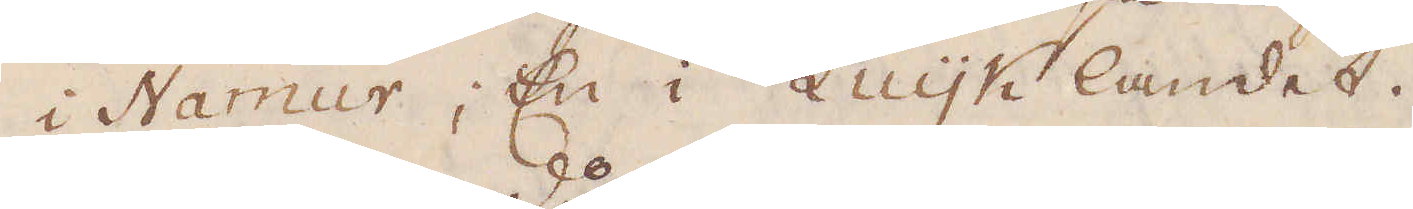i Namur, En i Luyk landet.
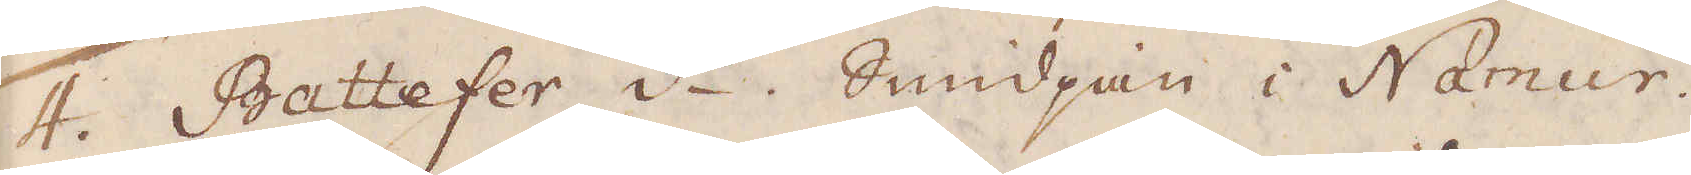4. Battefer d:o. Smidjan i Namur.
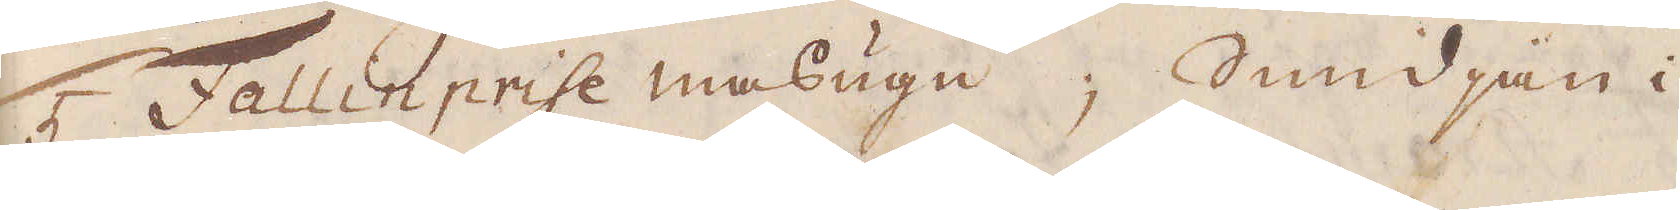5 Fallinprise masugn, Smidjan i
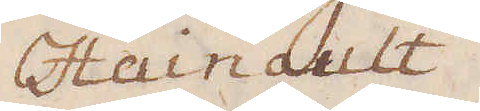Hainault.
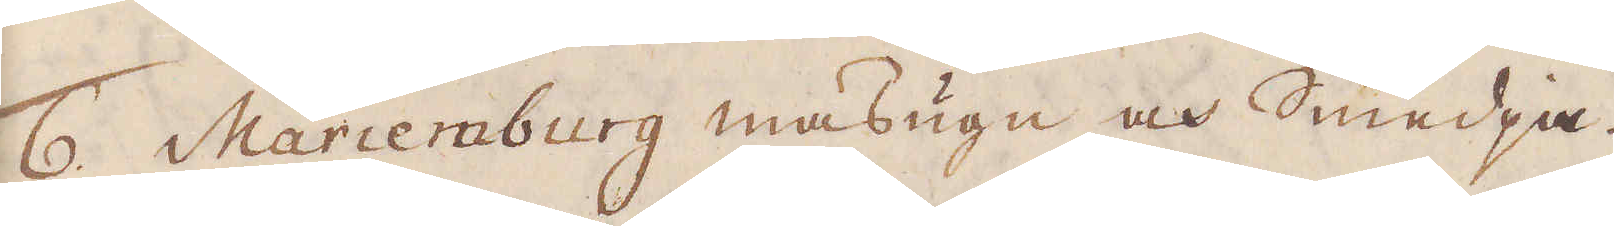6. Mariemburg masugn och Smedja.
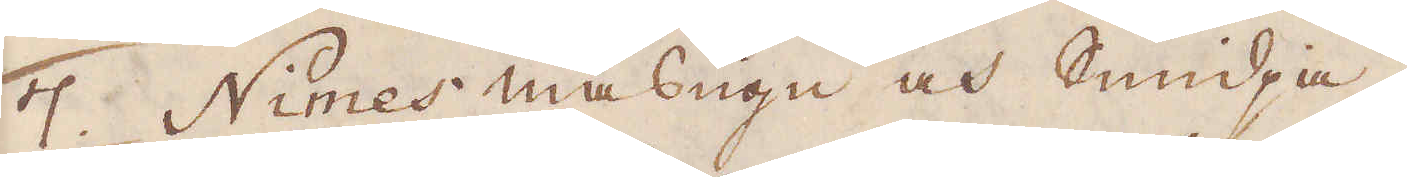7. Nimes masugn och Smidja.
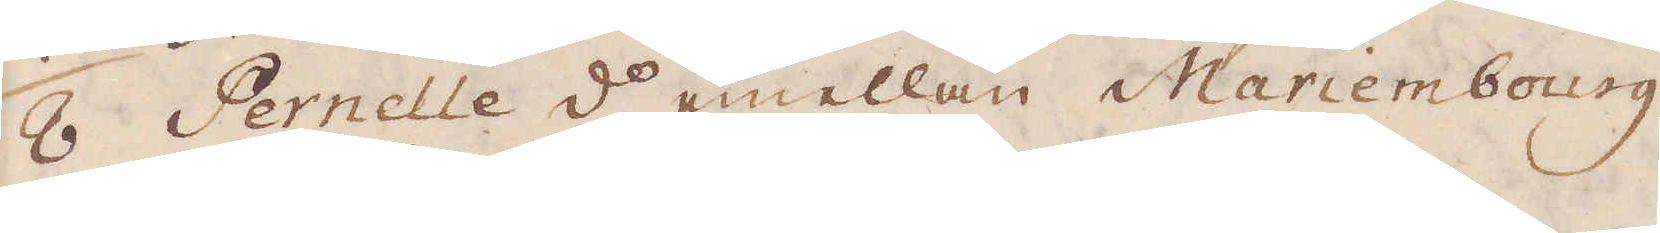8 Pernelle d:o emellan Mariembourg
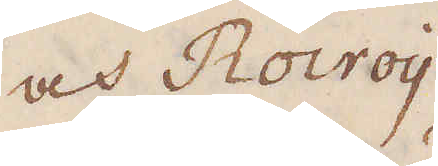och Rovroy
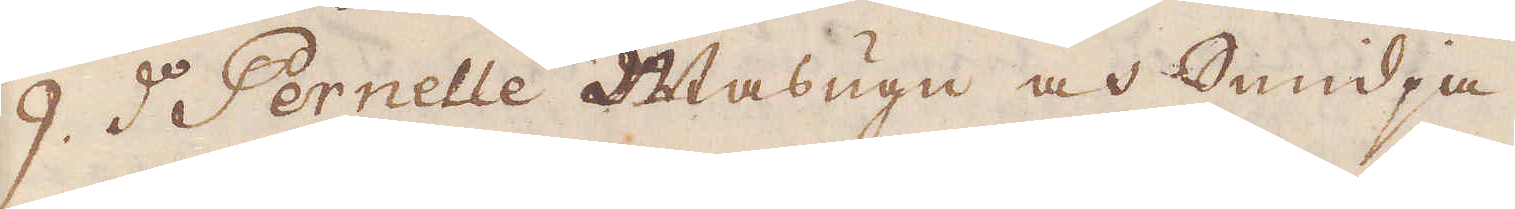9. d:o Pernelle Masugn och Smidja
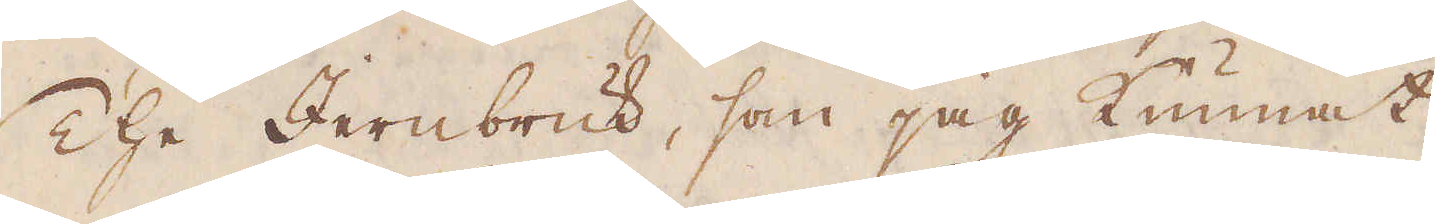The Jernbruk, som jag kunnat
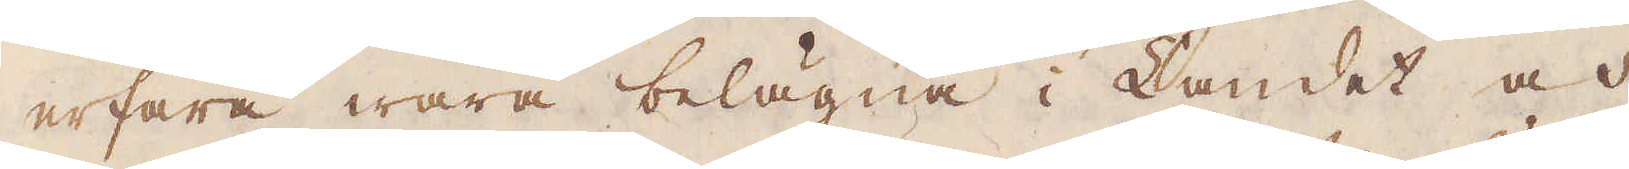erfara wara belägna i Landet och
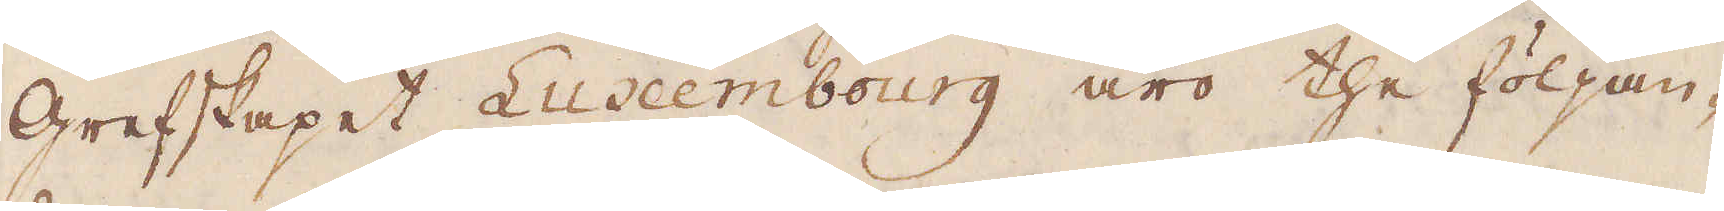grefskapet Luxembourg äro the följan-
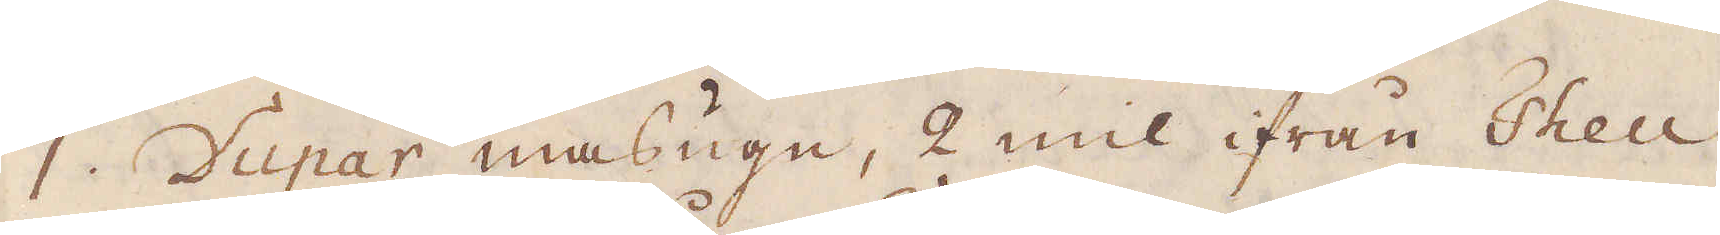1. Vupar masugn, 2 mil ifrån Theu,
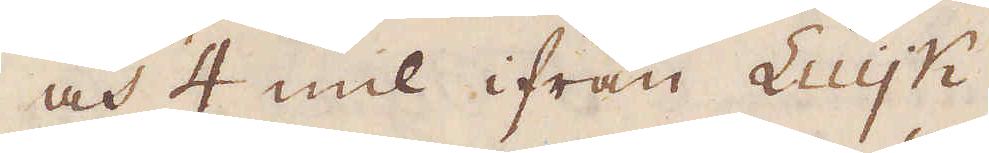och 4 mil ifrån Luyk.
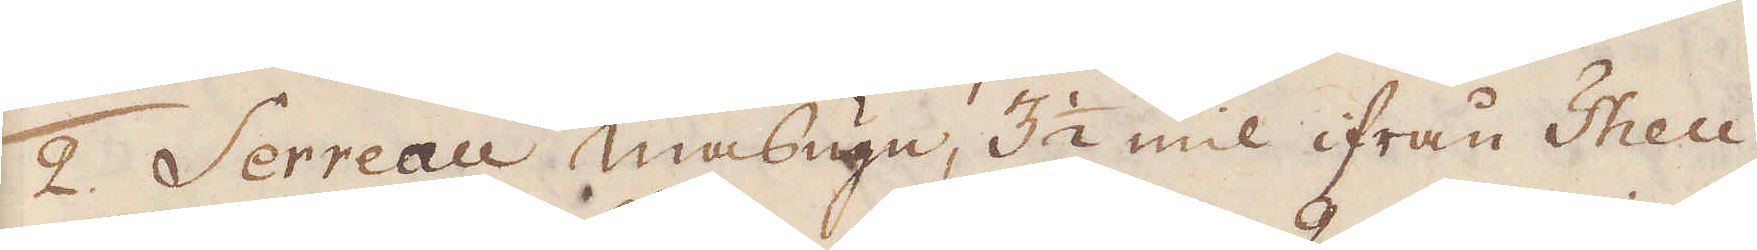2. Serreau masugn, 3 1/2 mil ifrån Theu.
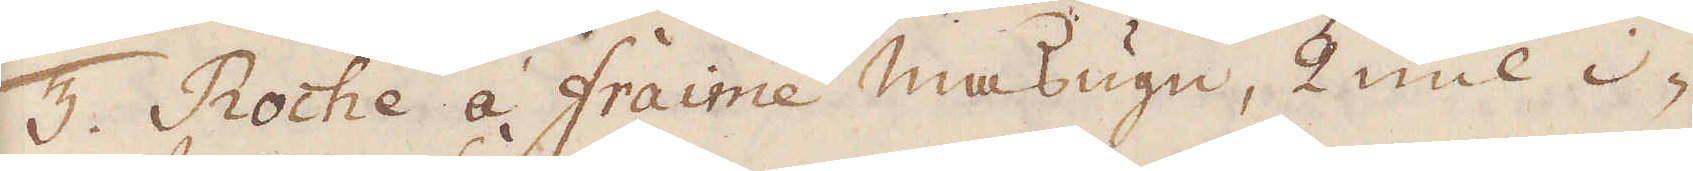3. Roche à Fraime masugn, 2 mil i-
